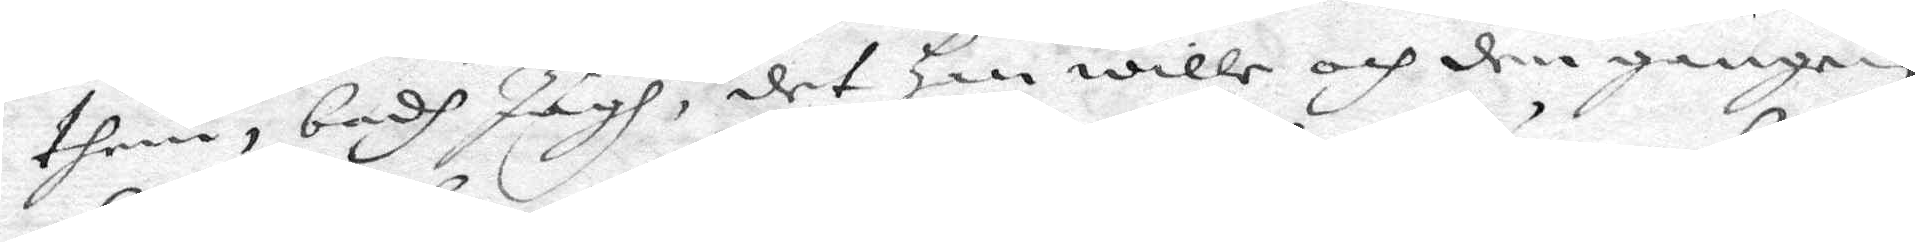them, badh Jagh, det Han wille och den gången
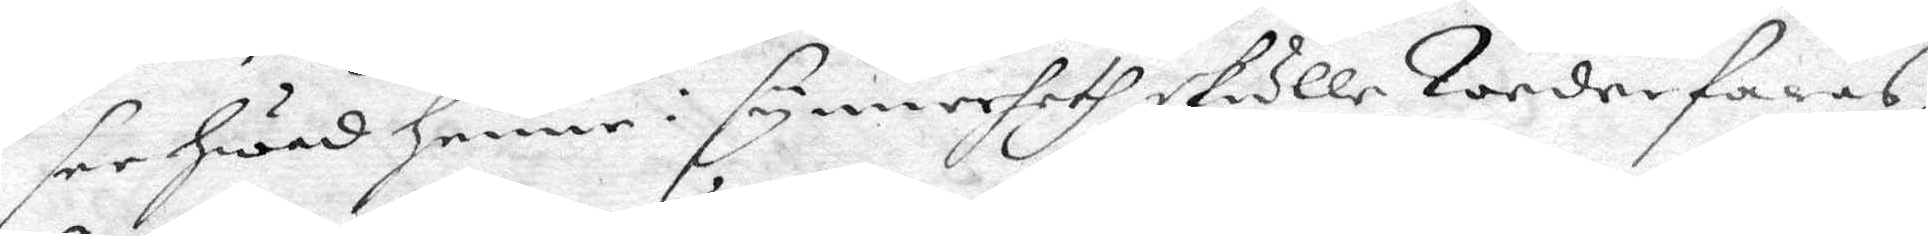see hwad henne i synnerheth skulle Wederfaras,
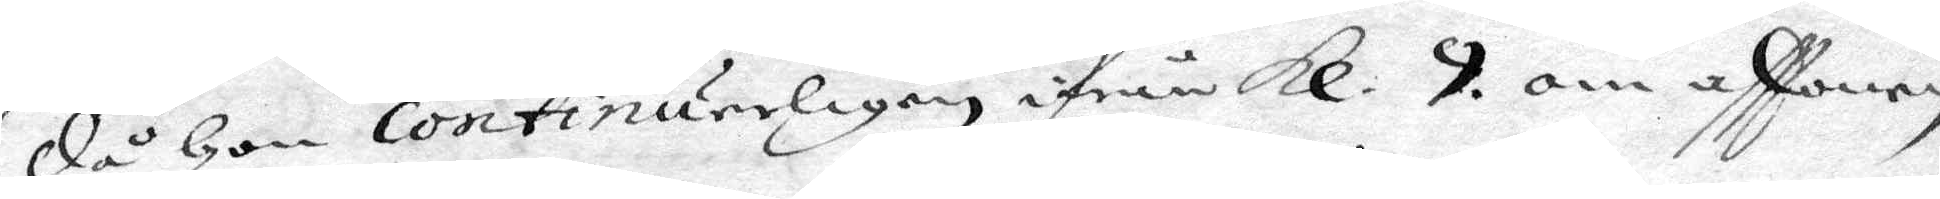då hon continuerligen ifrån Kl. 9. om afftonen,
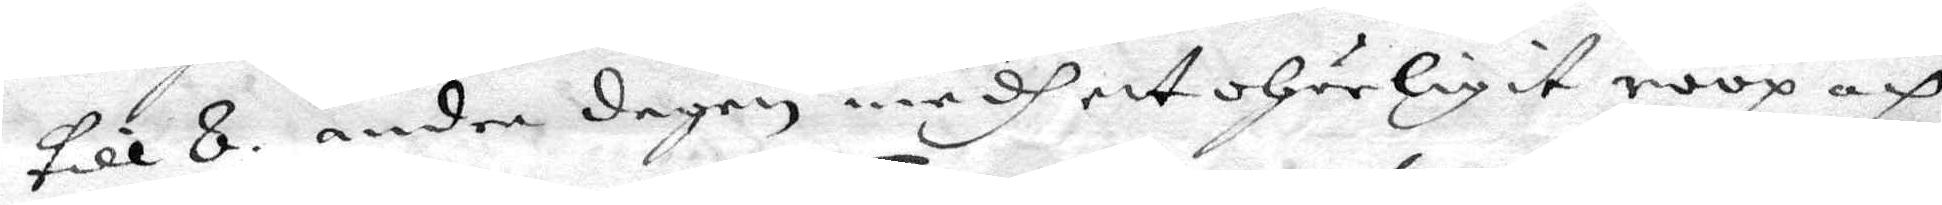till 8. andra dagen medh ett ohörligit roop och
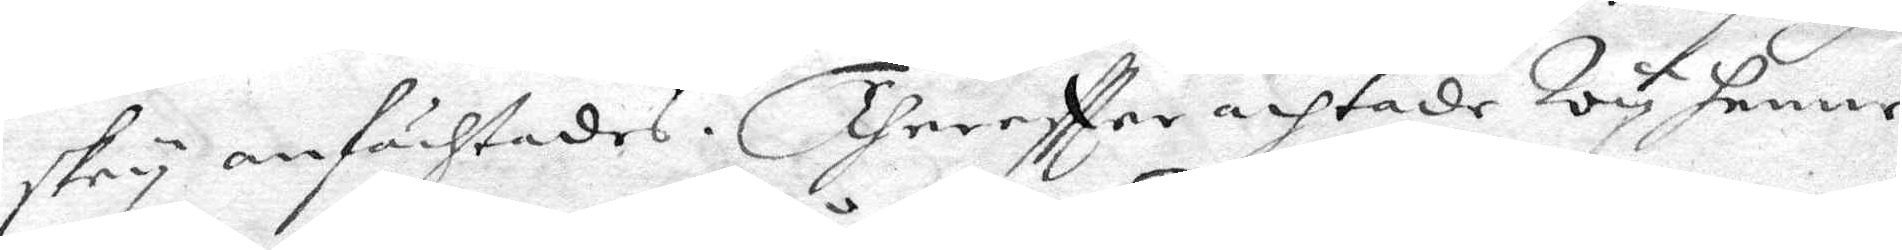skry anfächtades. Thereftter achtade Wy henne
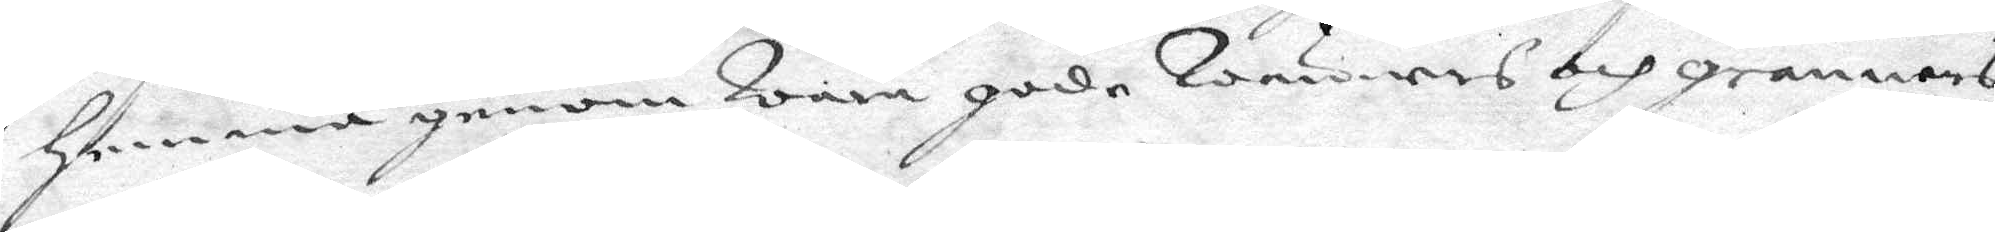Hemma genom Wåra gode Wänners och grannars
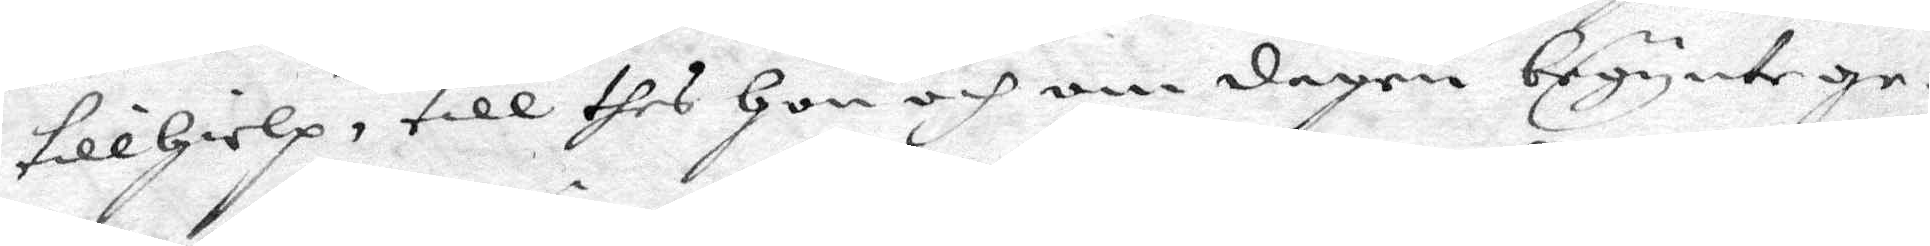tillhielp, till thes Hon och om dagen begynte ge¬
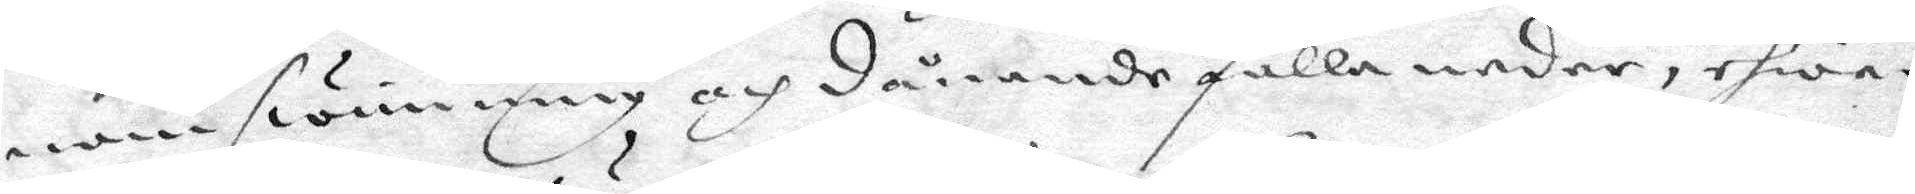nom swimning och dånande falla neder, ehwar
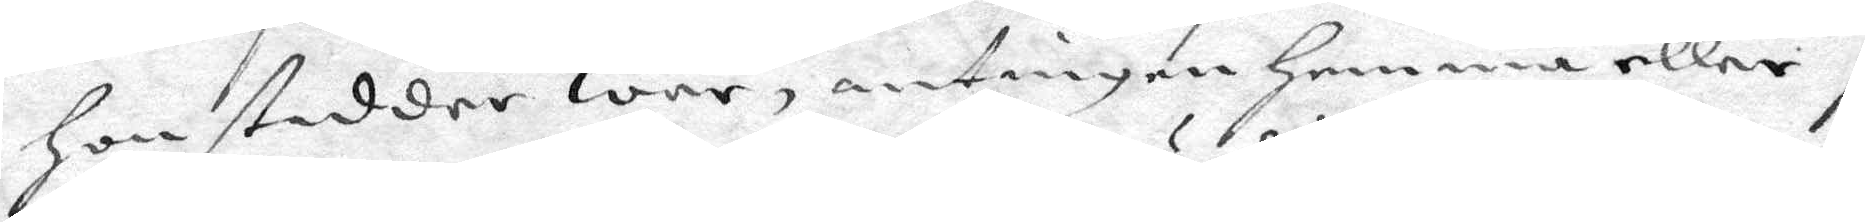Hon stadder war, antingen Hemma eller i
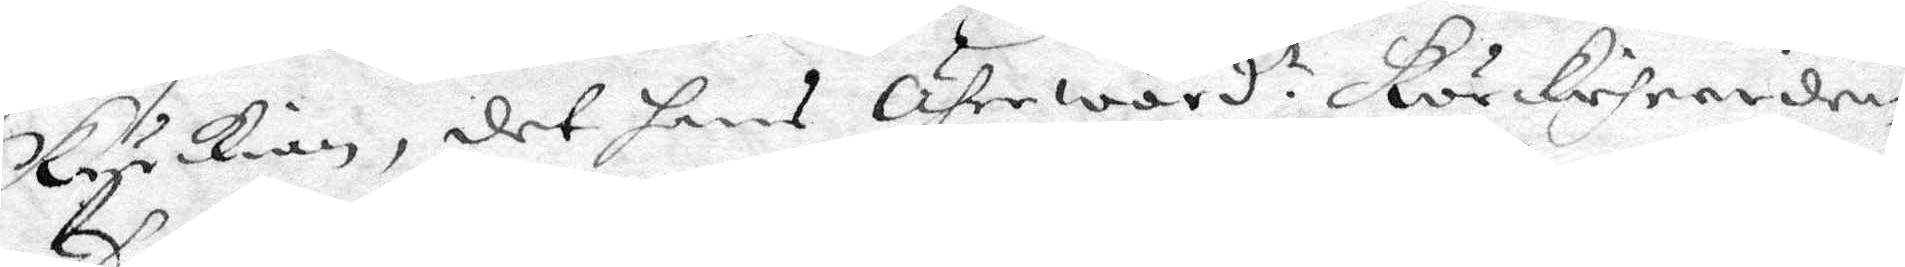Kyckian, det hans Ährewörd.t Körkeherden
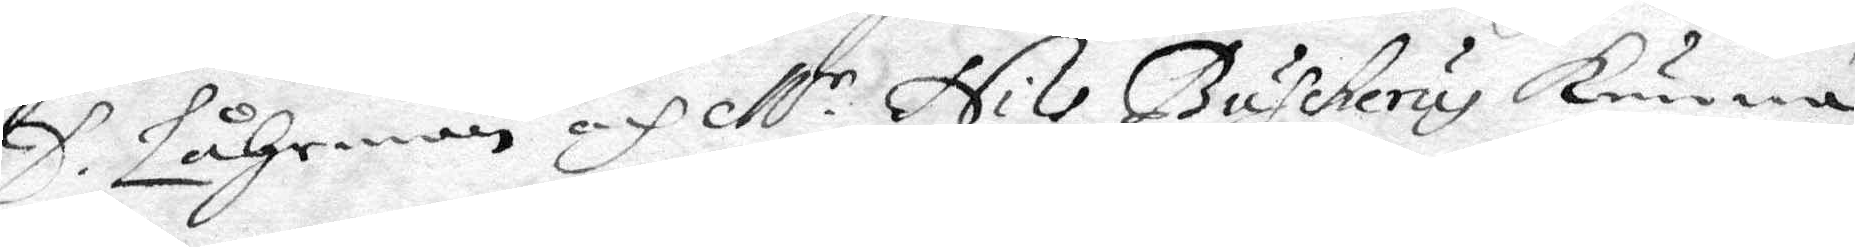D. Låhrman och M:r Nils Buhckerus kunna
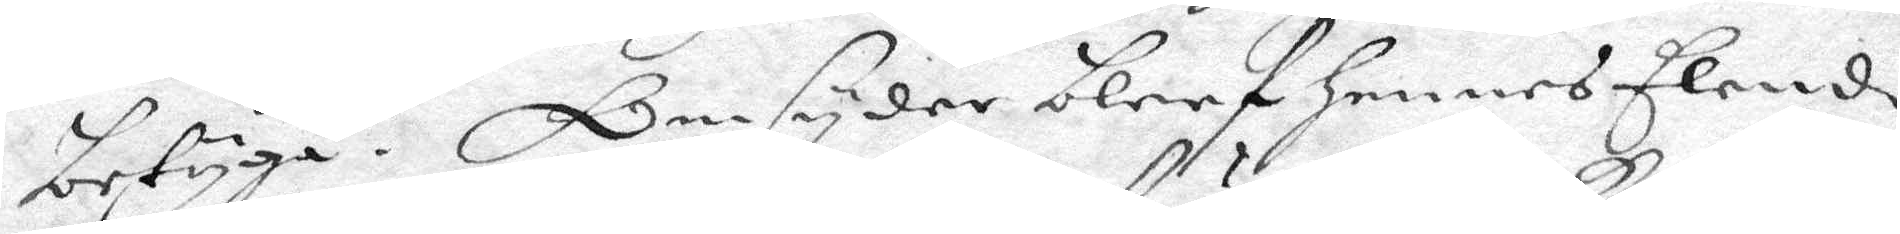betyga. Omsyder bleef hennes Elende
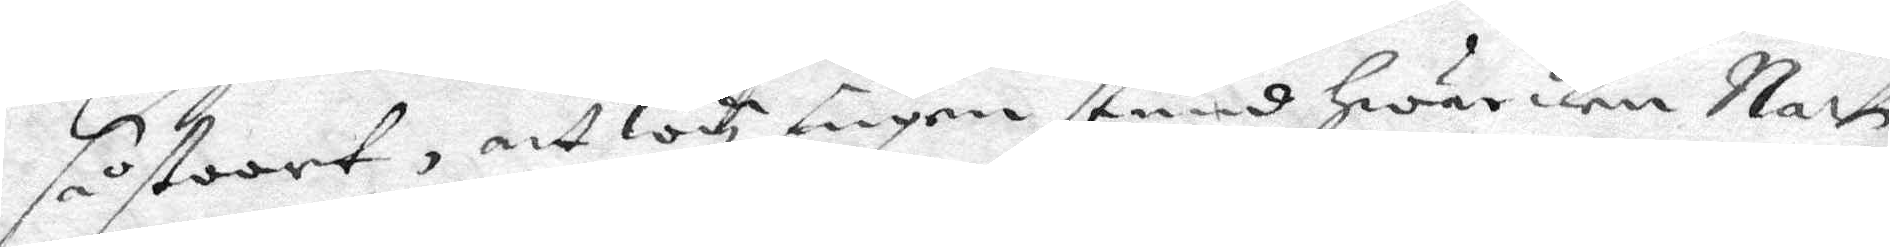så stoort, att wy ingen stund hwarken Natt
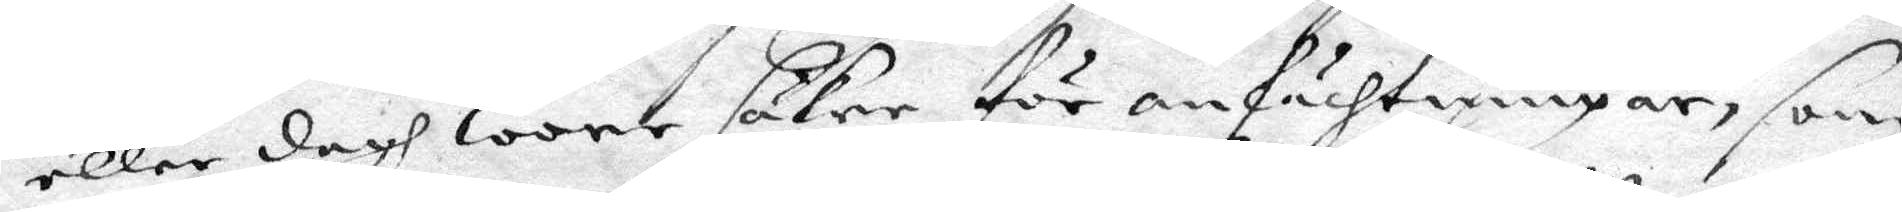eller dagh wore säkre för anfächtningar, som
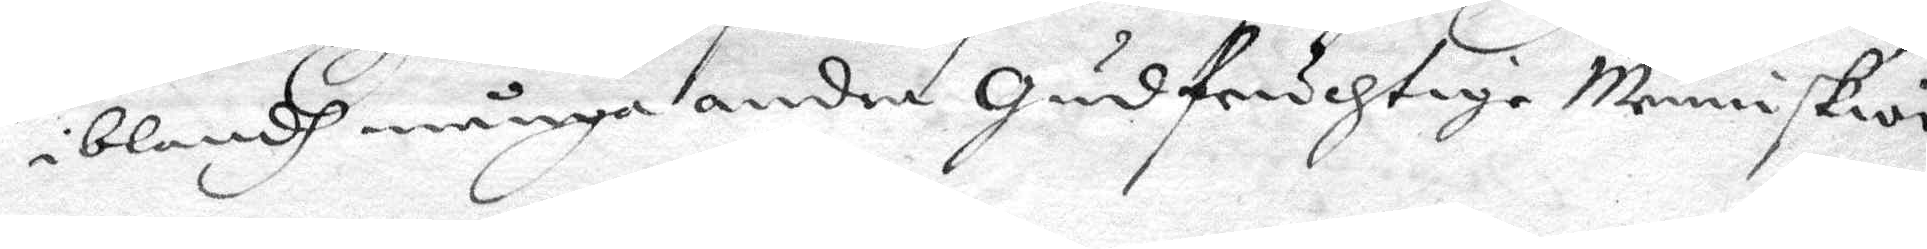iblandh många andra gudfruchtige Menniskior
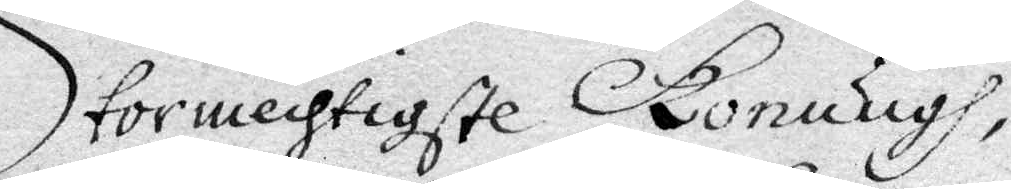Stormechtigste Konungh,
